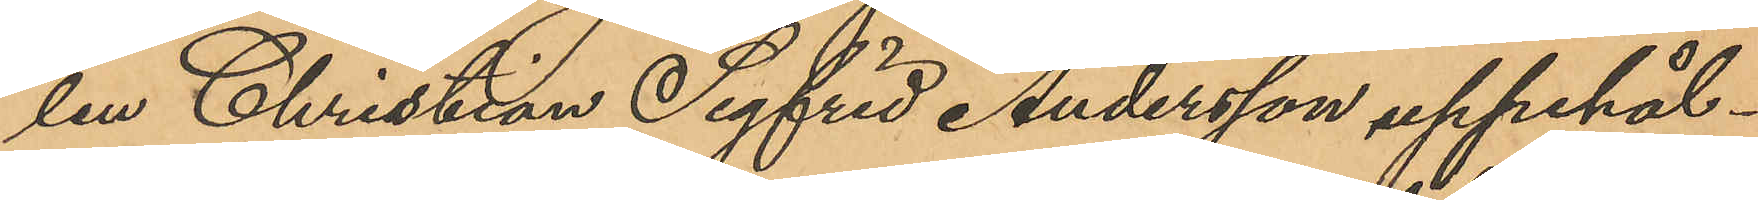len Christian Sigfrid Andersson, uppehål¬
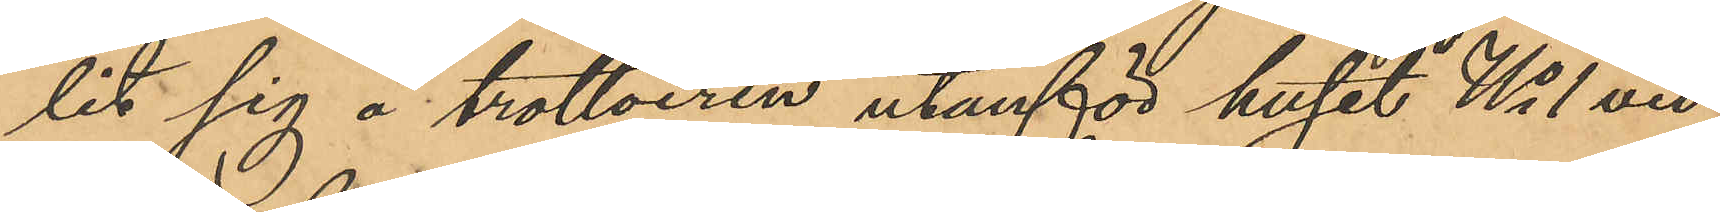lit sig å trottoiren utanför huset No 1 vid
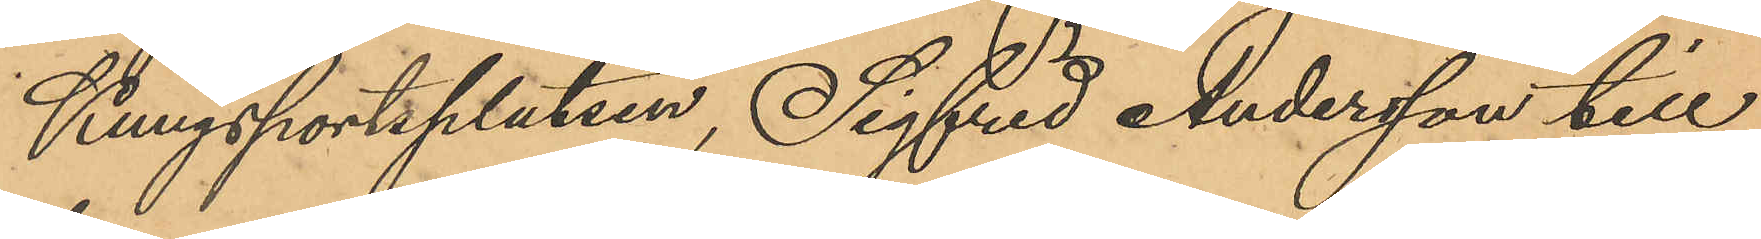Kungsportsplatsen, Sigfrid Andersson till
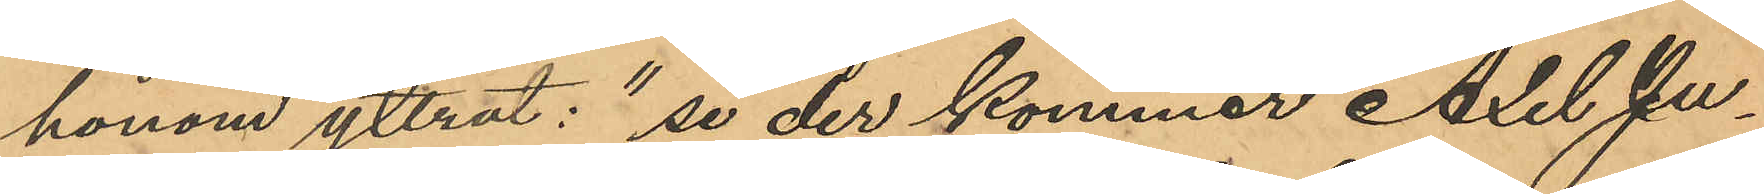honom yttrat: "se der kommer Axel Ju¬
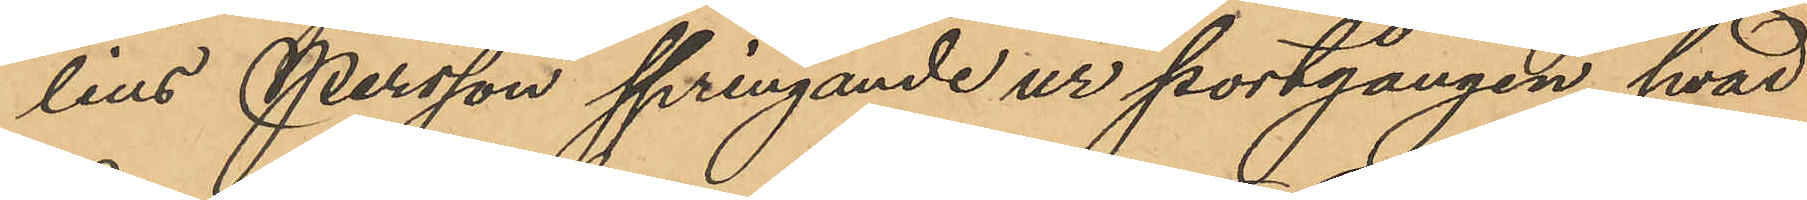lius Persson springande ur portgången, hvad
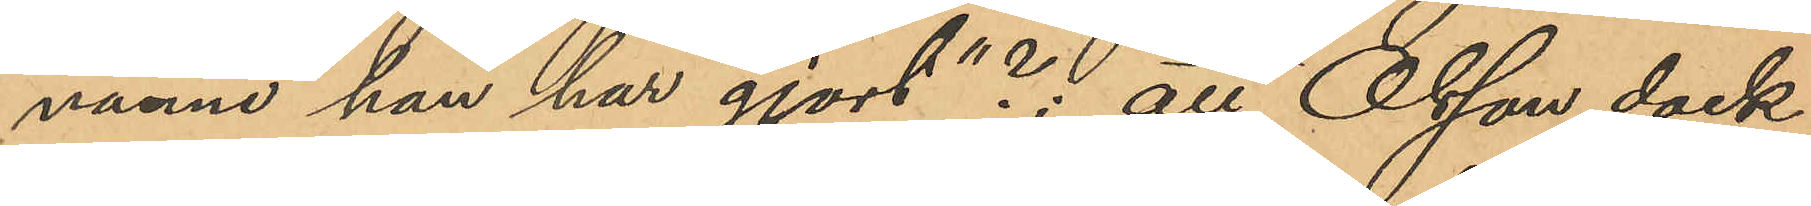månne han har gjort"?; att Olsson dock
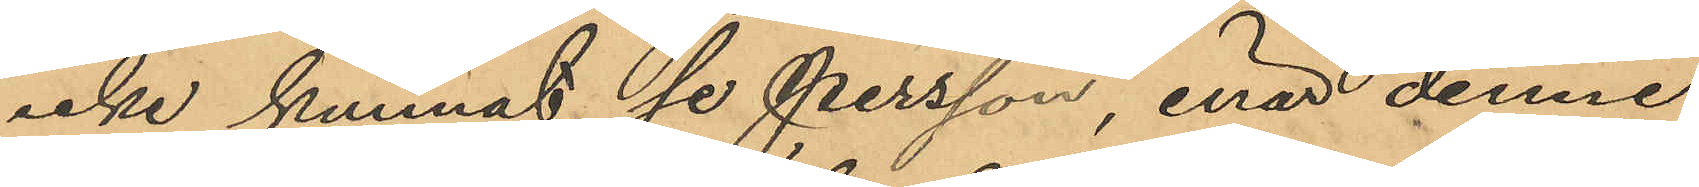icke kunnat se Persson, enär denne
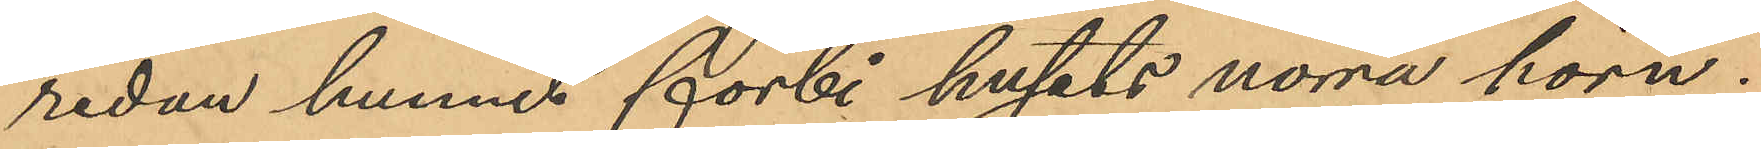redan hunnit förbi husets norra hörn,
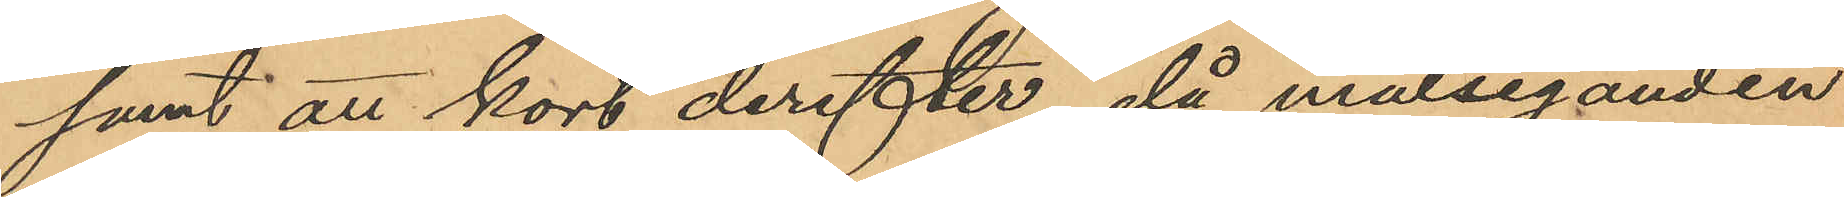samt att kort derefter, då målseganden
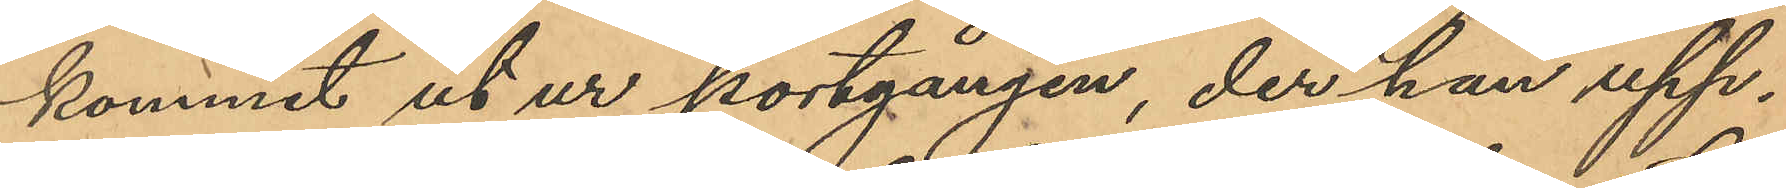kommit ut ur portgången, der han upp¬
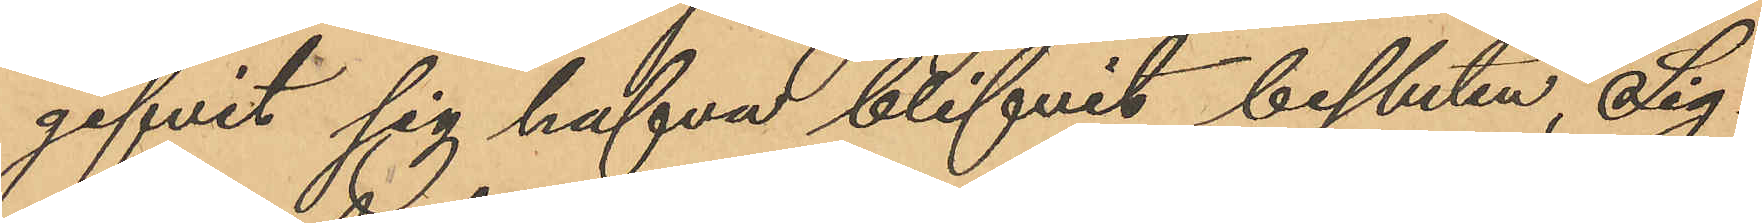gifvit sig hafva blifvit bestulen, Sig¬
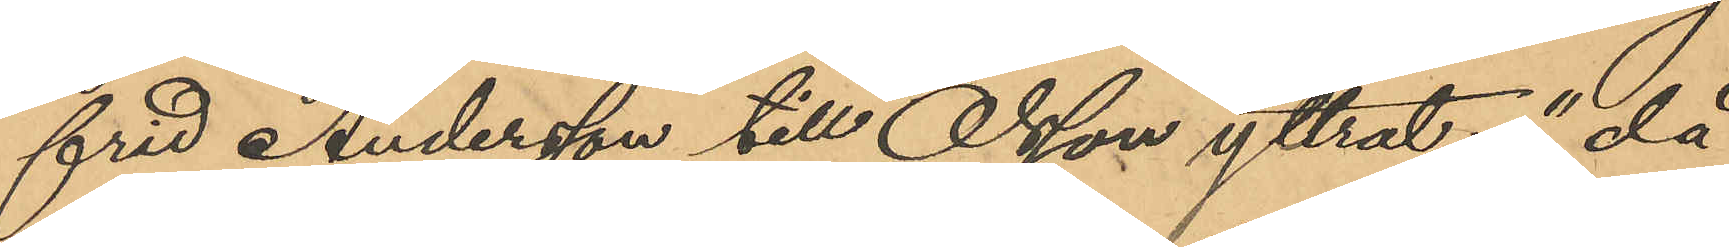frid Andersson till Olsson yttrat: "då
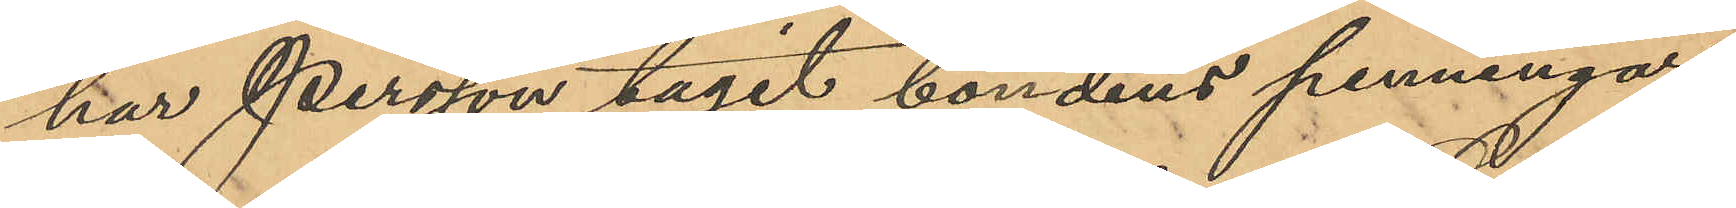har Persson tagit bondens penningar,
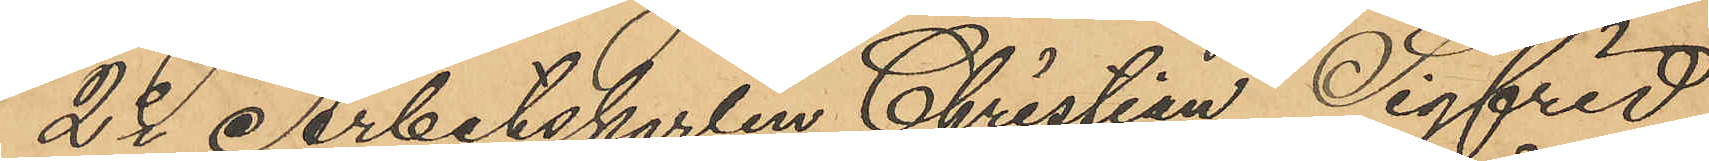2o Arbetskarlen Christian Sigfrid
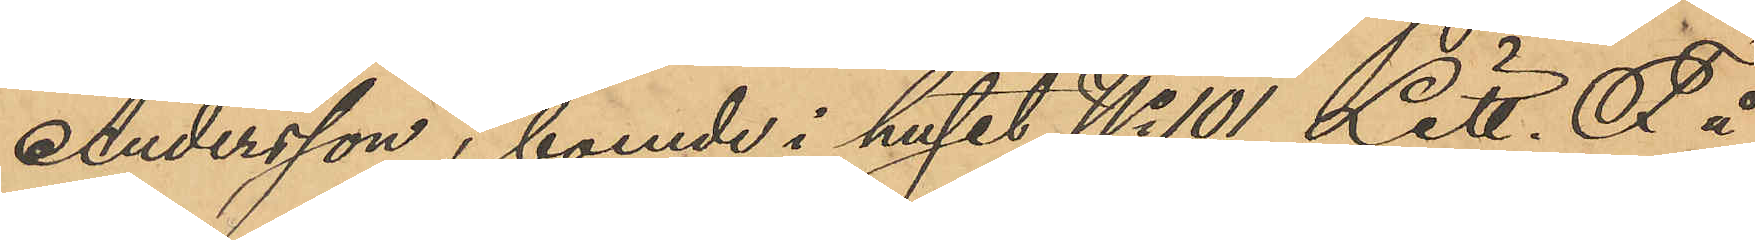Andersson, boende i huset No 101 Litt. F å
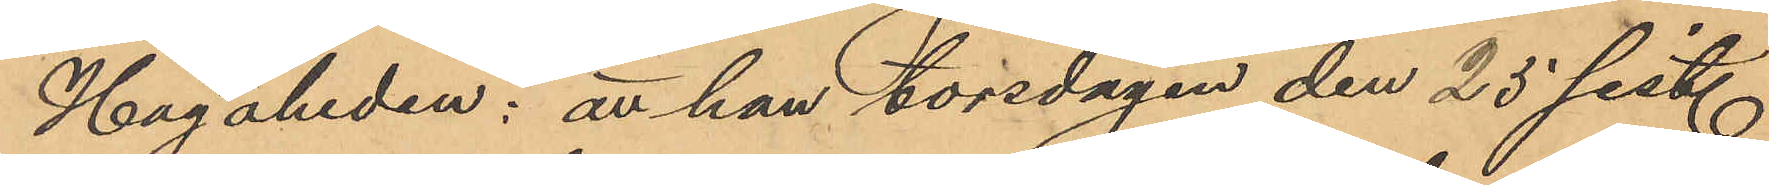Hagaheden: att han torsdagen den 25 sist.
